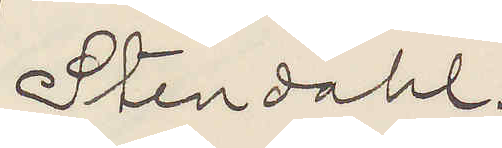Stendahl.
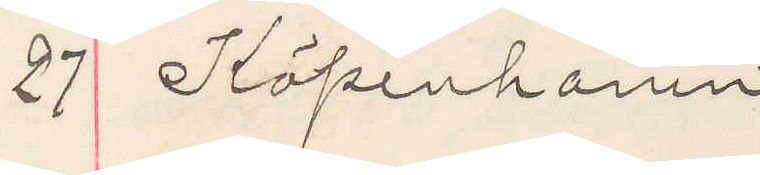27 Köpenhamn
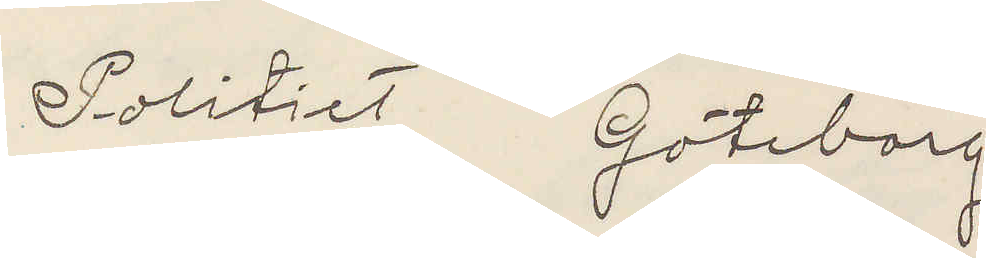Politiet Göteborg
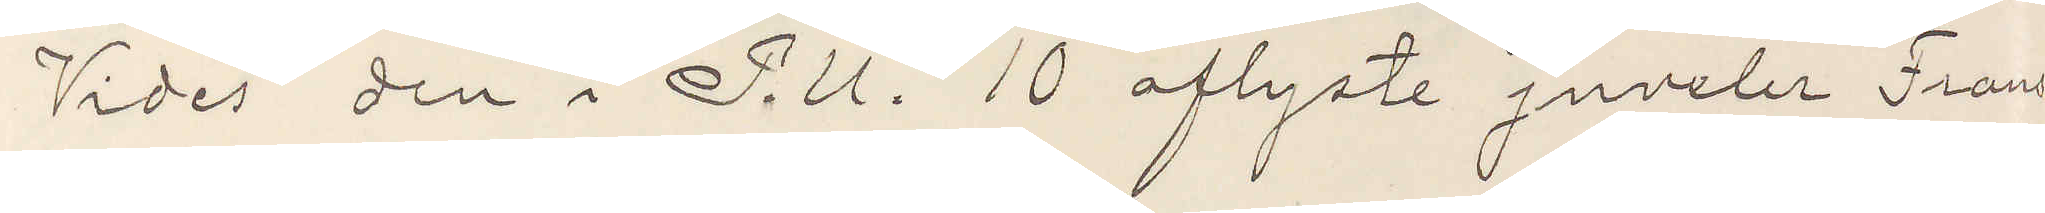Vides den i P. U. 10 aflyste juveler Frans
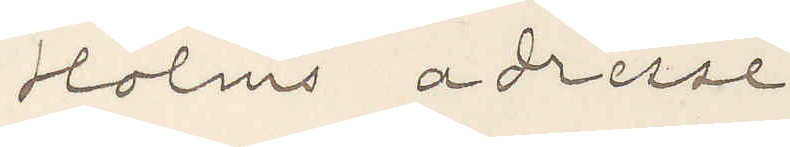Holms adresse
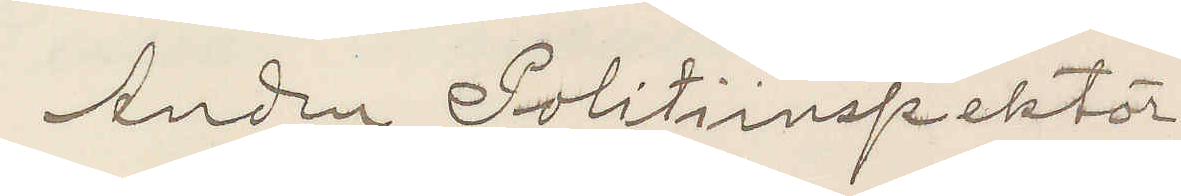Anden Polisinspektör.
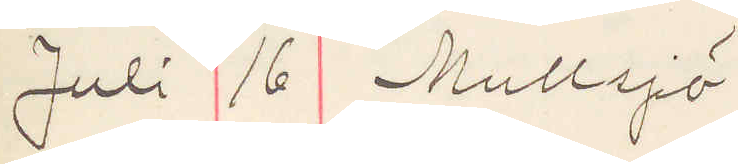Juli 16 Mullsjö
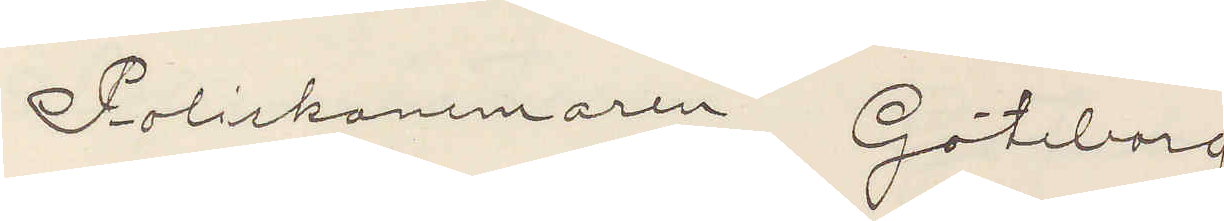Poliskammaren Göteborg
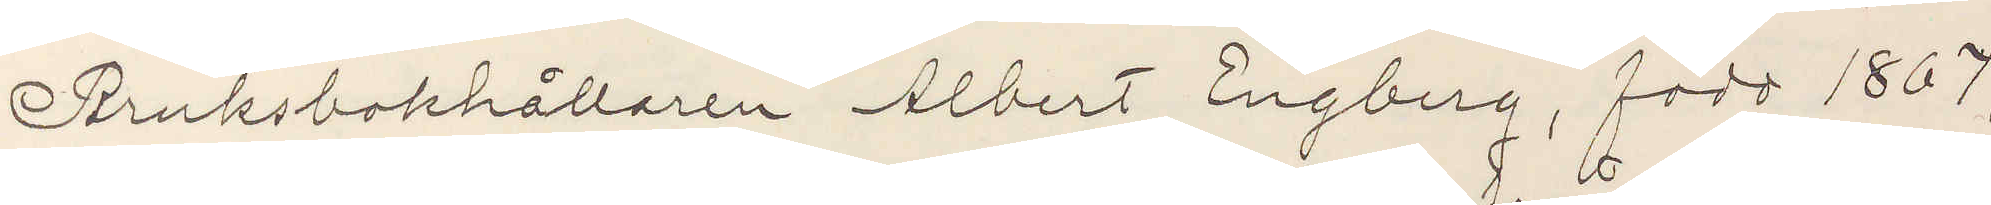Bruksbokhållaren Albert Engberg, född 1867,
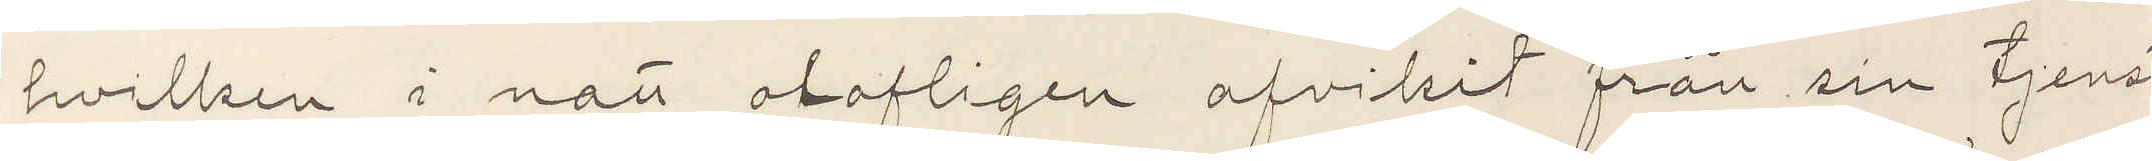hvilken i natt olofligen afvikit från sin tjenst
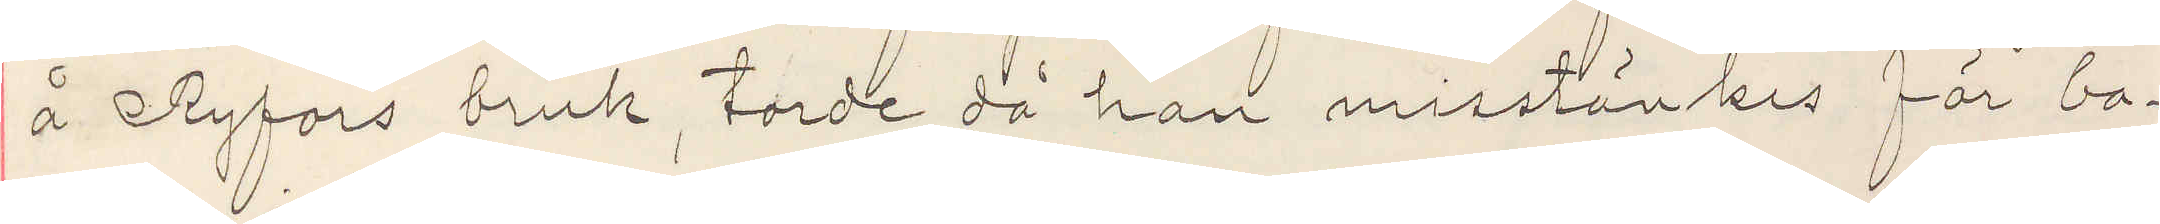å Ryfors bruk, torde då han misstänkes för ba¬
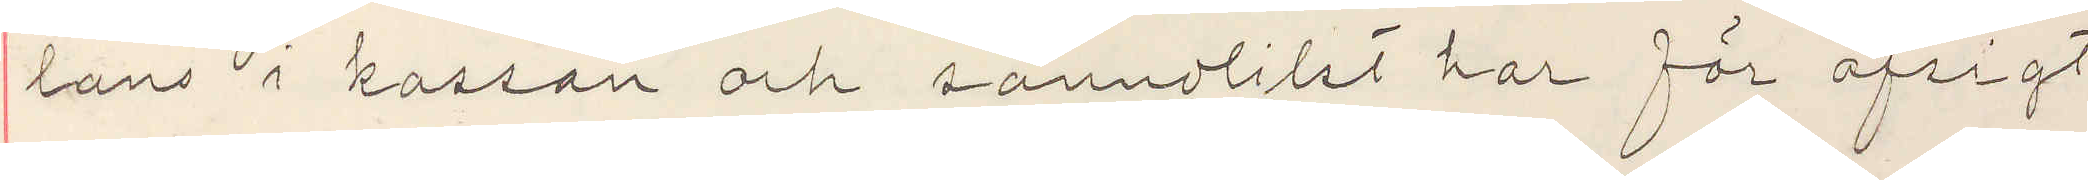lans i kassan och sannolikt har för afsigt
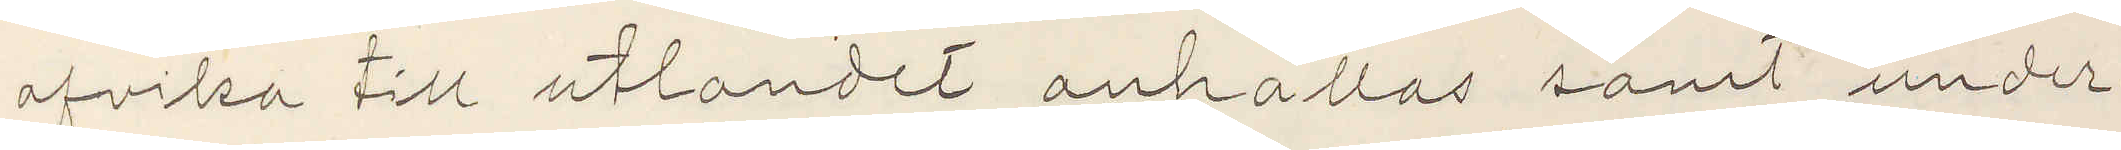afvika till utlandet anhållas samt under¬
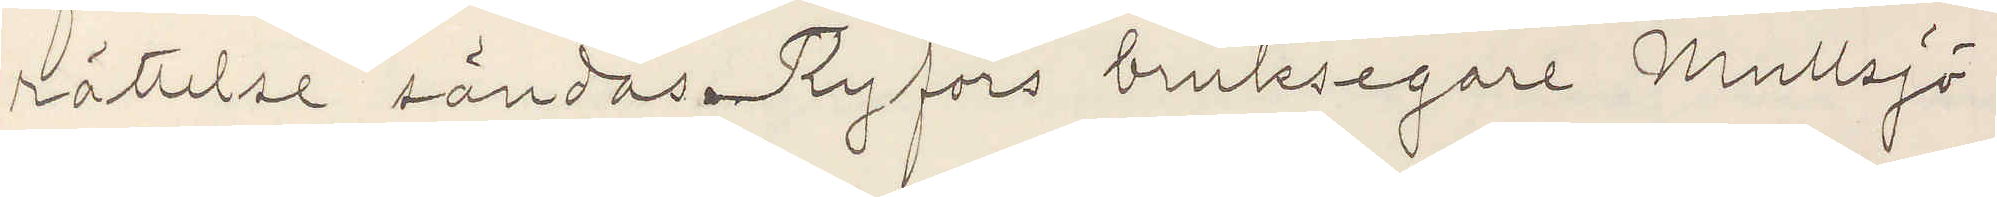rättesle sändas Ryfors bruksegare Mullsjö.
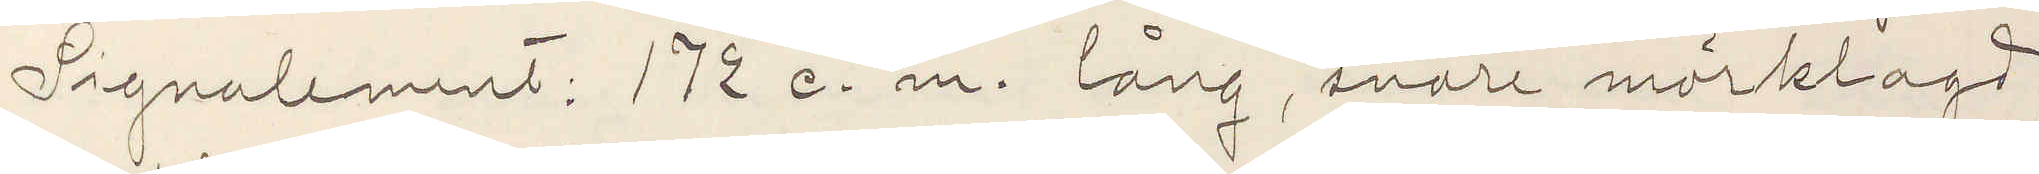Signalement: 172 c. m. lång, svart mörklagd,
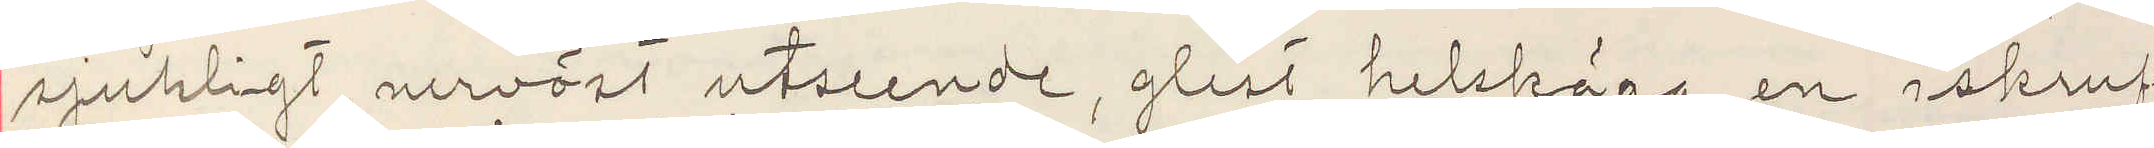sjukligt, nervöst utseende, glest helskägg en iskruf¬
